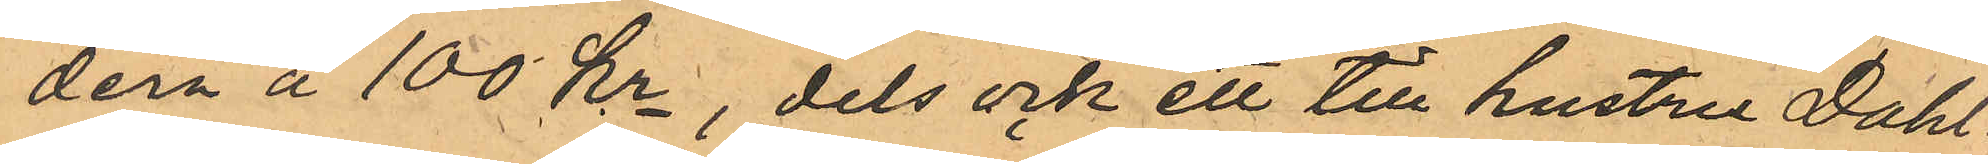dera å 100 Kr, dels ock ett till hustru Dahl¬
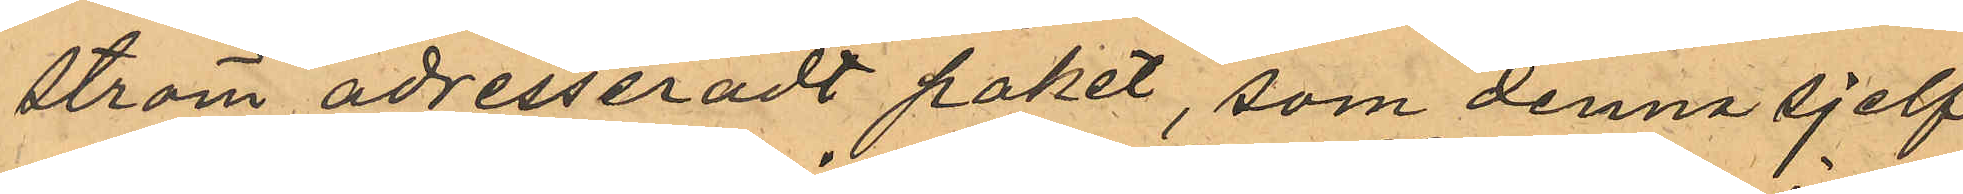ström adresseradt paket, som denna sjelf
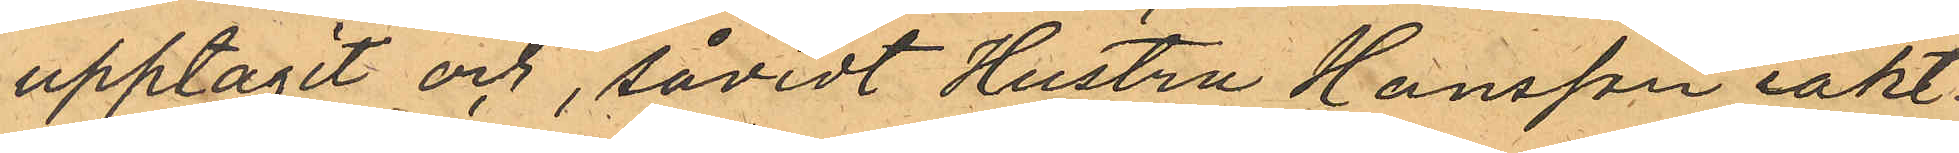upptagit och, såvidt Hustru Hansson iakt¬
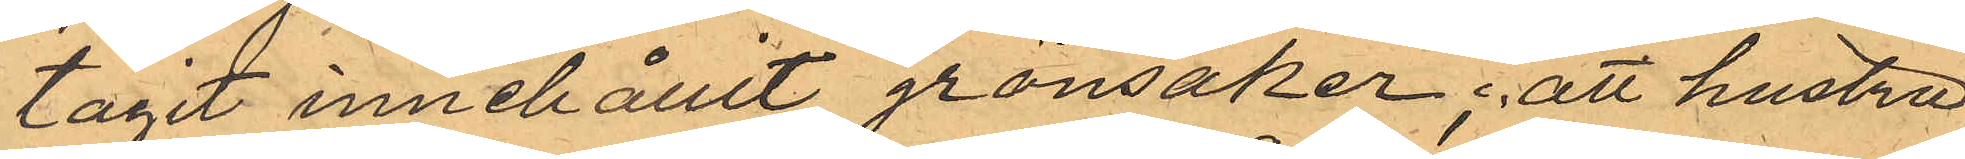tagit innehållit grönsaker; att hustru
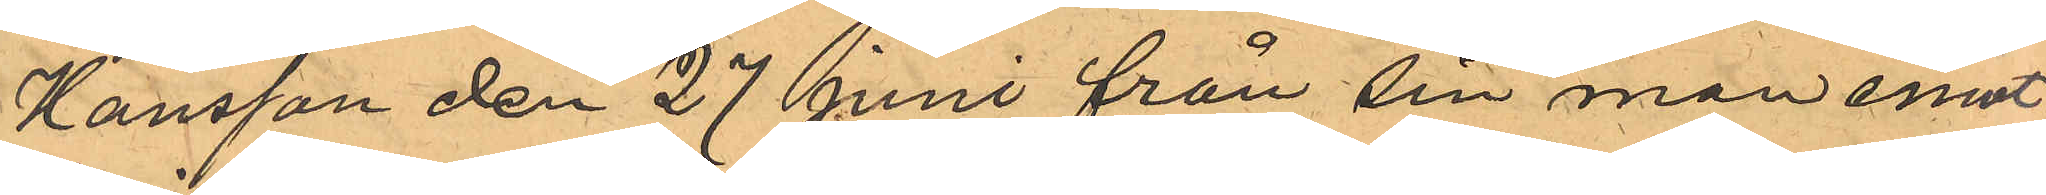Hansson den 27 Juni från sin man emot¬
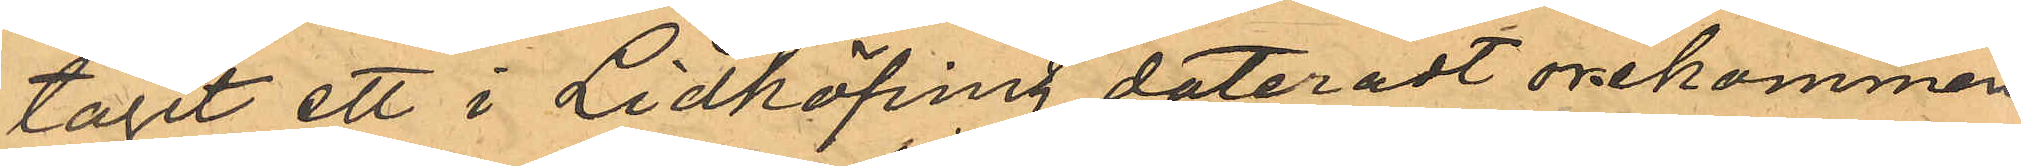tagit ett i Lidköping dateradt orekommen¬
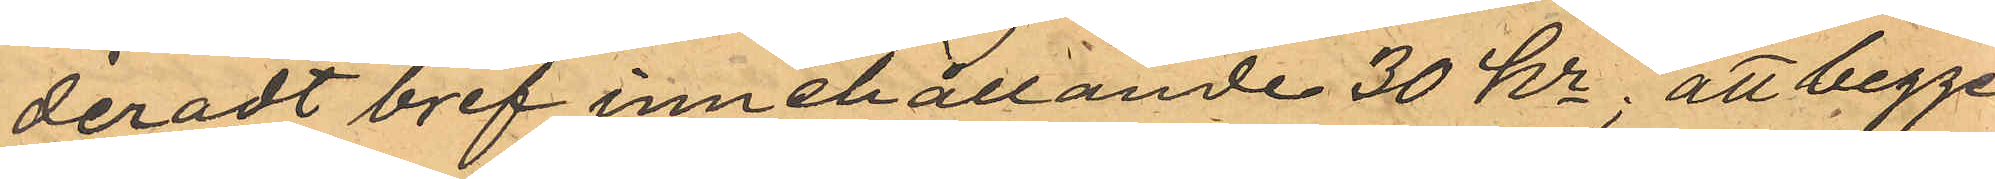deradt bref innehållande 30 kr; att begge
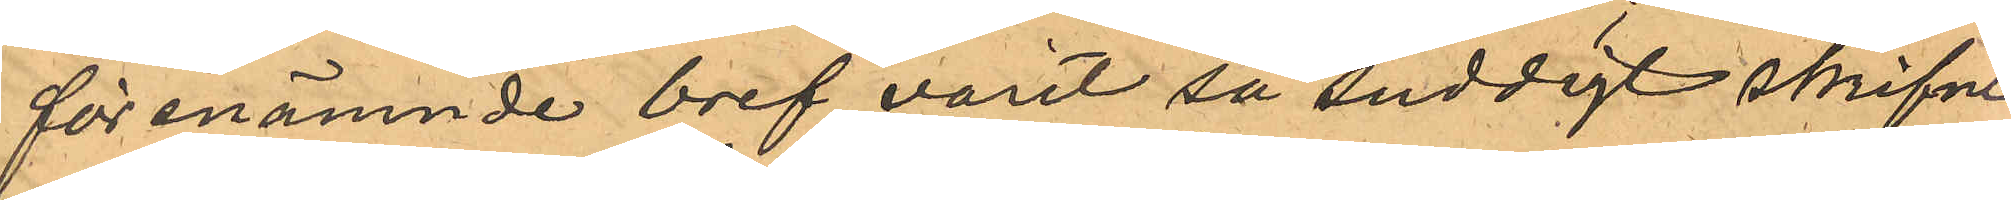förenämnde bref varit så suddigt skrifne
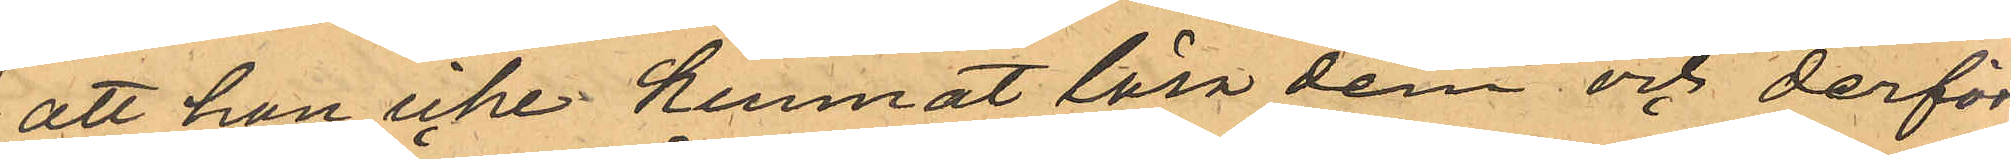att hon icke kunnat läsa dem och derför
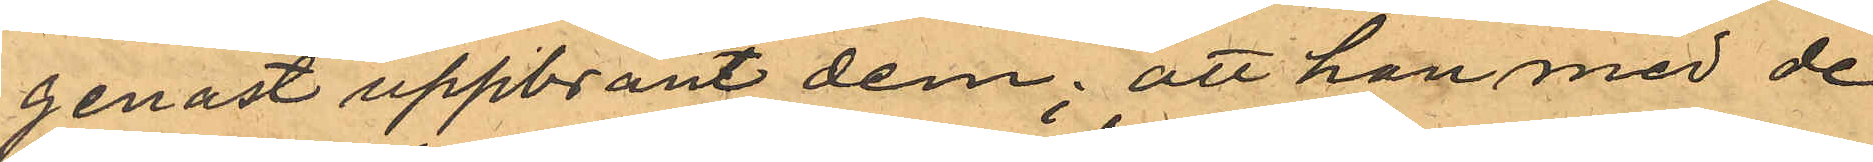genast uppbränt dem; att han med de
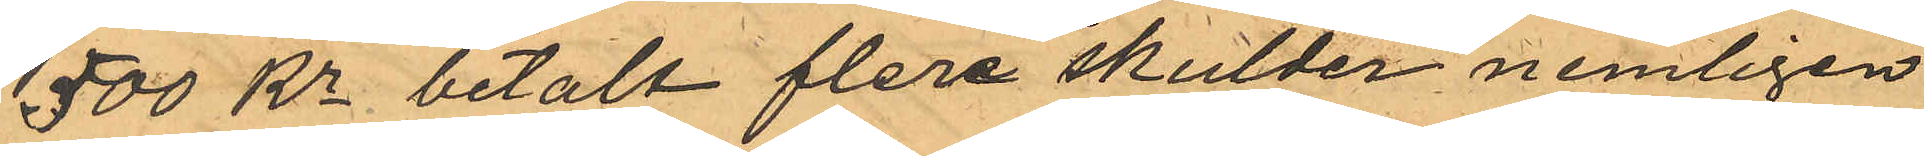500 Kr betalt flera skulder nemligen
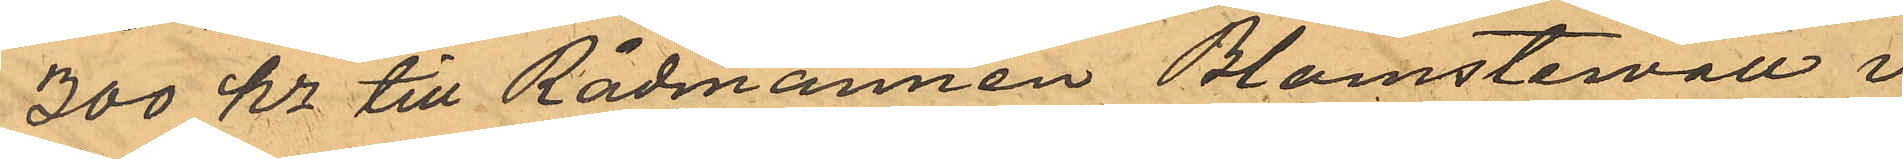300 kr till Rådmannen Blomstervall i
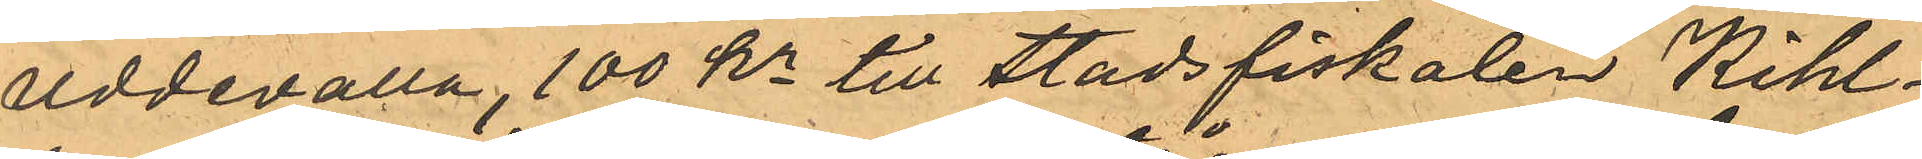Uddevalla, 100 kr till Stadsfiskalen Kihl¬
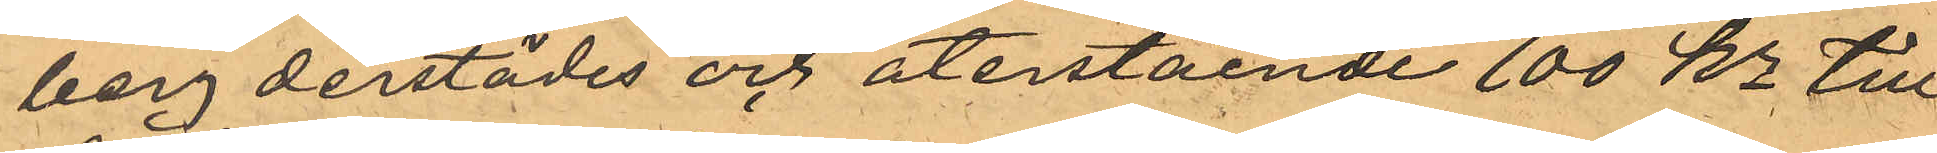berg derstädes och återstående 100 kr till
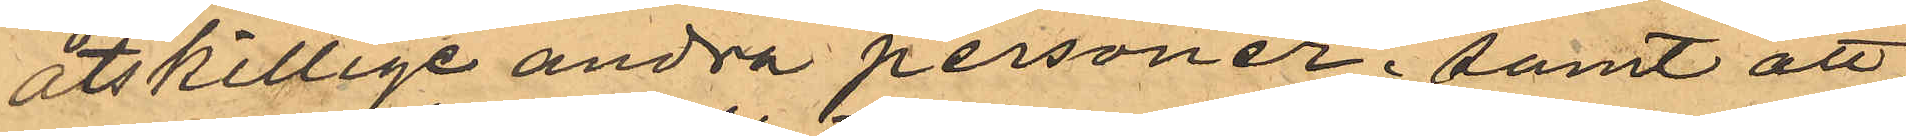åtskillige andra personer; samt att,
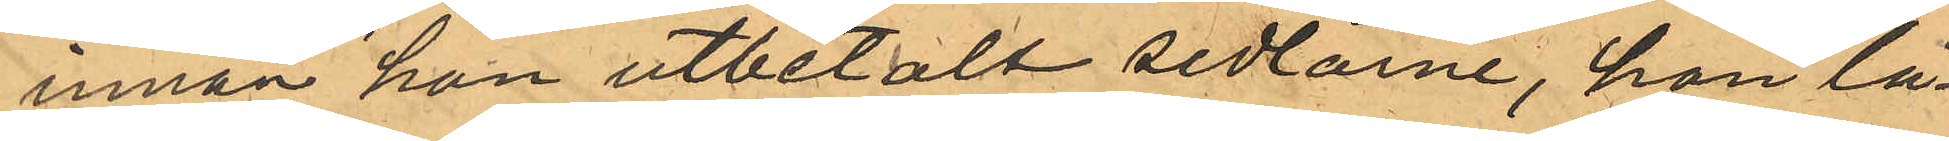innan hon utbetalt sedlarne, hon lå¬
